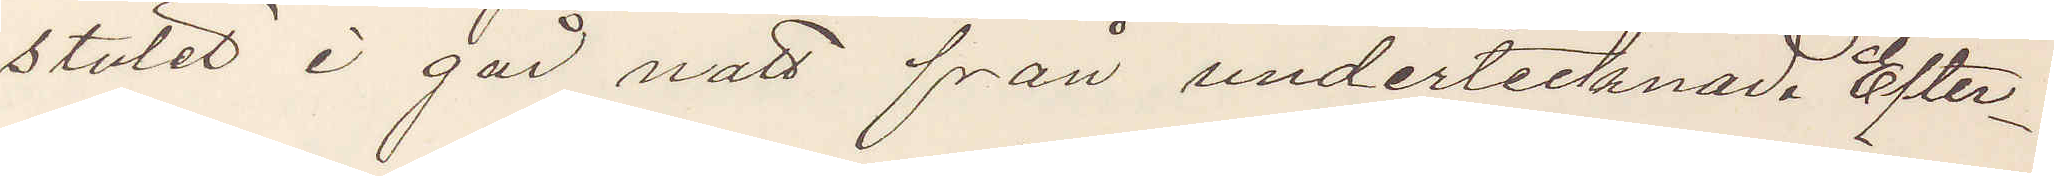stulet i går natt från undertecknad. Efter¬
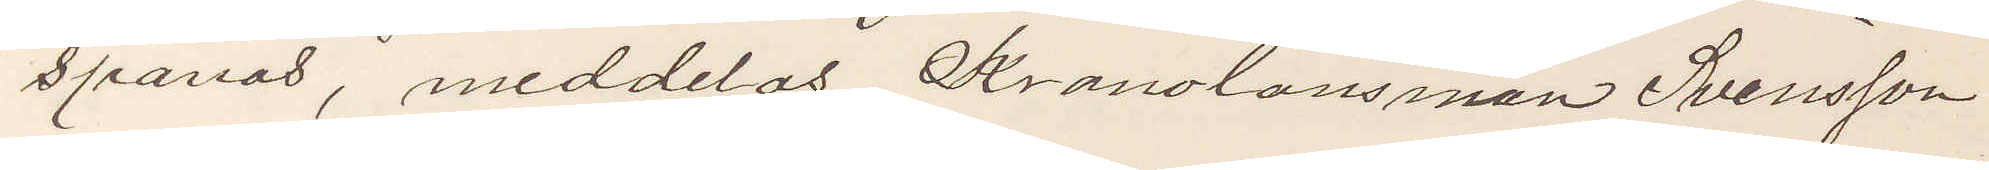spanad, meddelas Kronolänsman Svensson
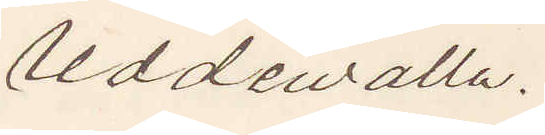Uddewalla.
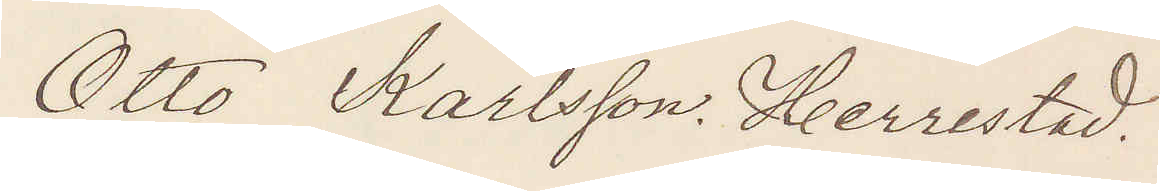Otto Karlsson. Herrestad.
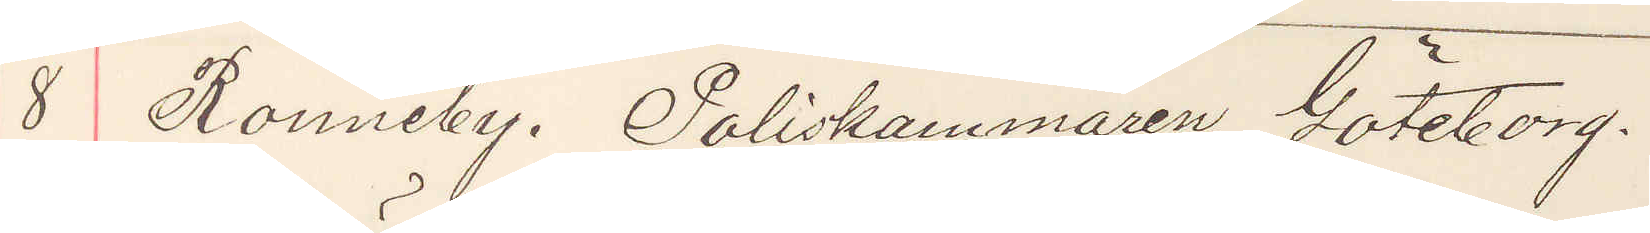8 Ronneby. Poliskammaren, Göteborg.
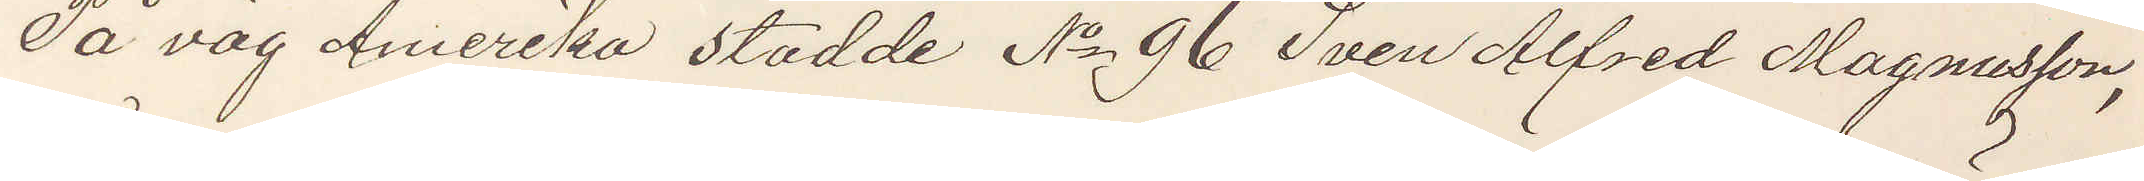På väg Amerika stadde No 96 Sven Alfred Magnusson,
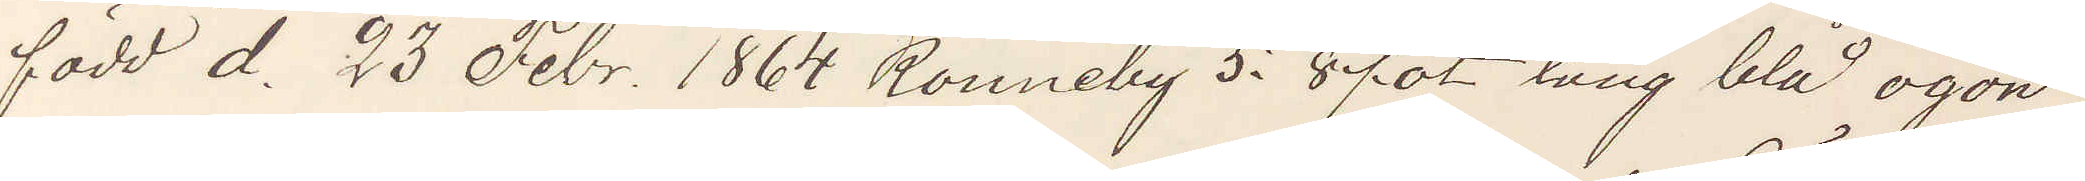född d. 23 Febr. 1864 Ronneby 5. 8 fot lång blå ögon
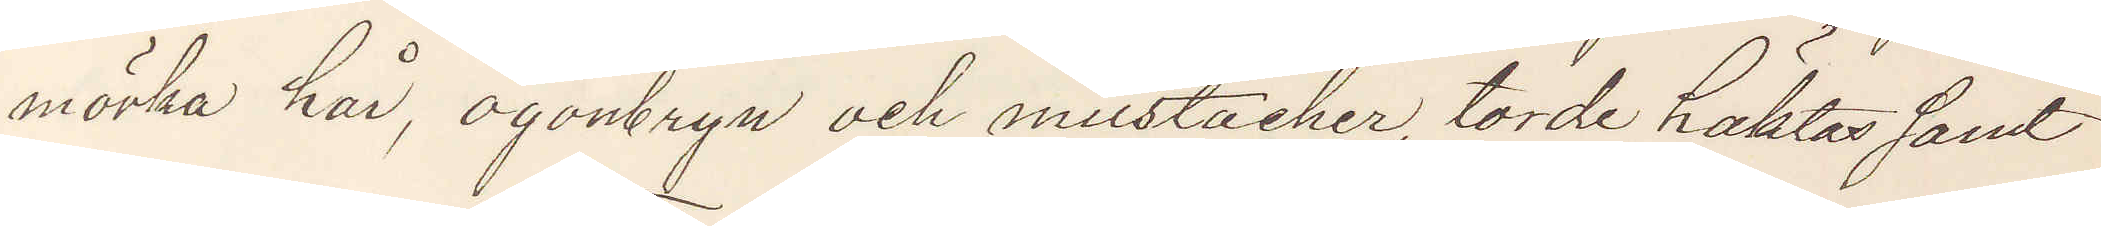mörka hår, ögonbryn och mustacher, torde häktas samt
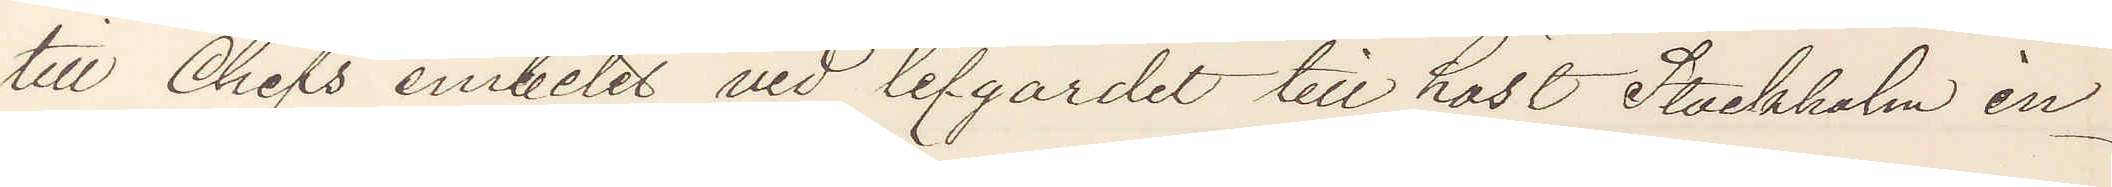till Chefs embetet vid lifgardet till häst Stockholm in¬
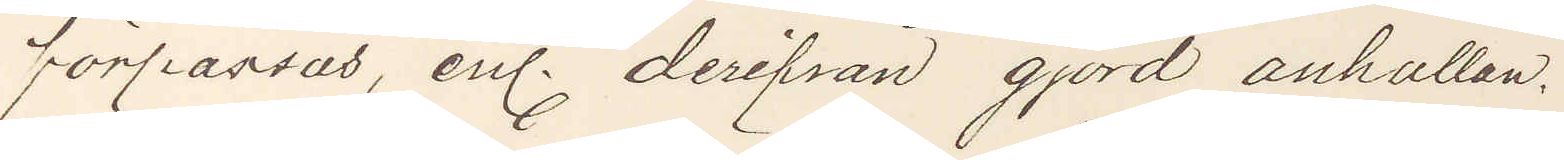förpassas, enl. derifrån gjord anhållan.
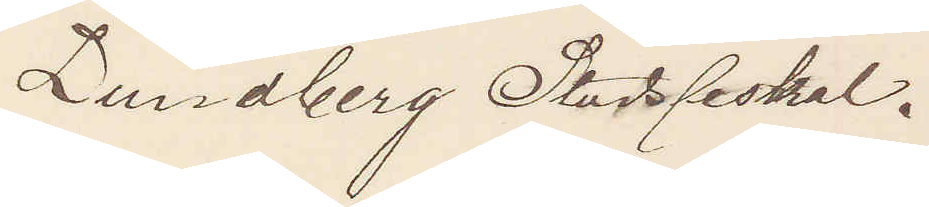Lundberg Stadsfiskal.
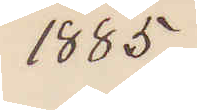1885
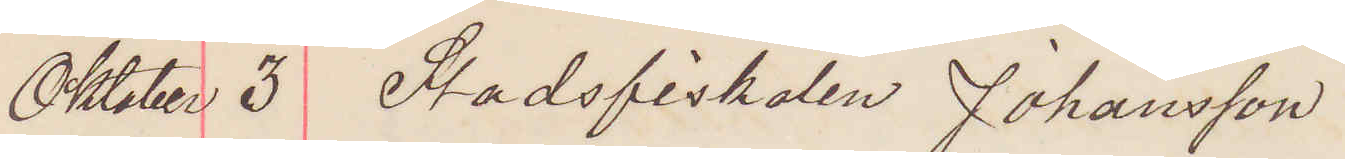Oktober 3 Stadsfiskalen Johansson
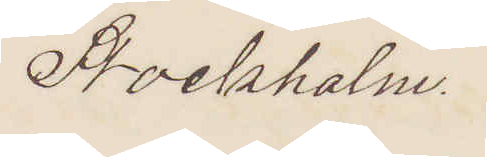Stockholm.
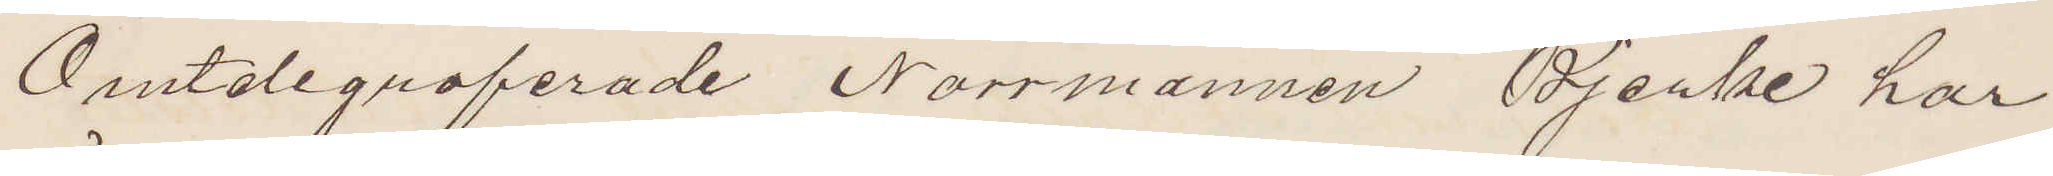Omtelegraferade Norrmannen Bjerke har
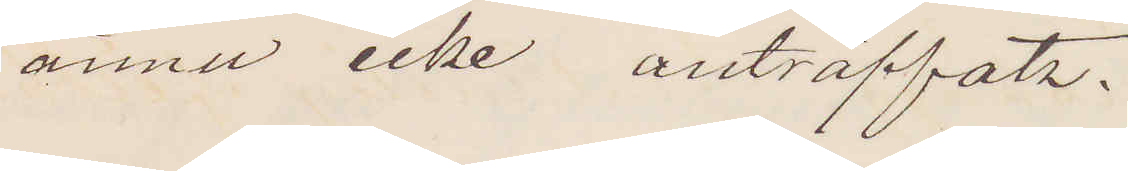ännu icke anträffats.
